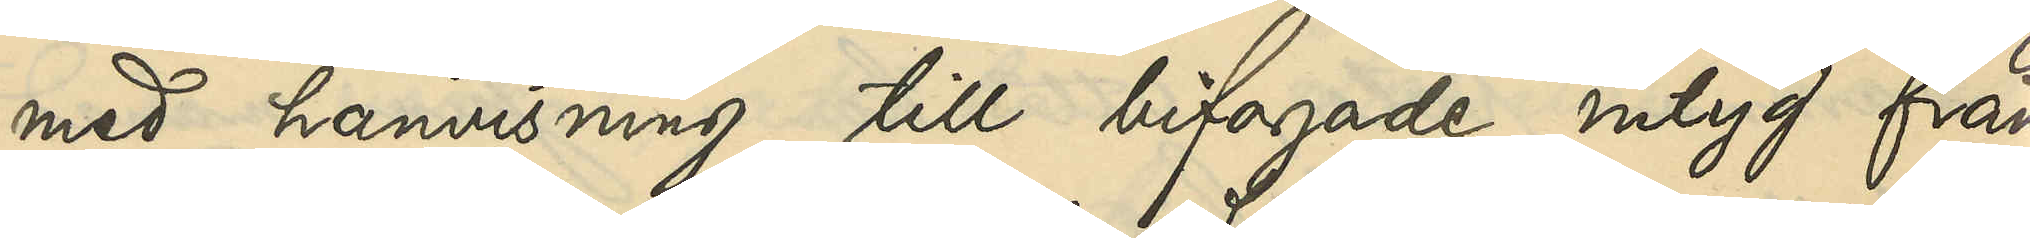med hänvisning till bifogade intyg från
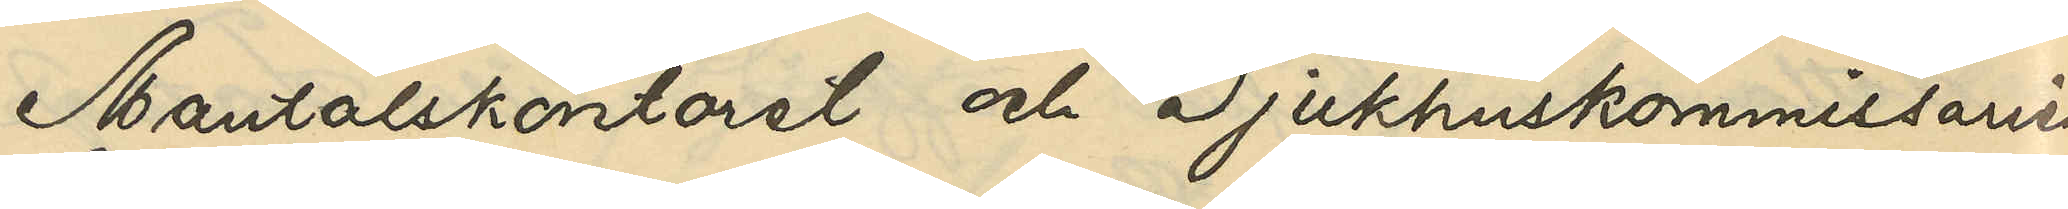Mantalskontoret och Sjukhuskommissarien
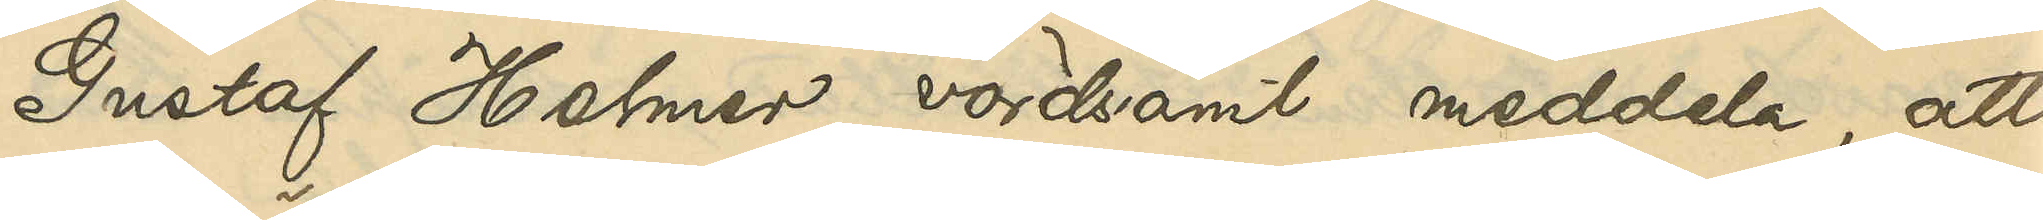Gustaf Holmen, vördsamt meddela, att
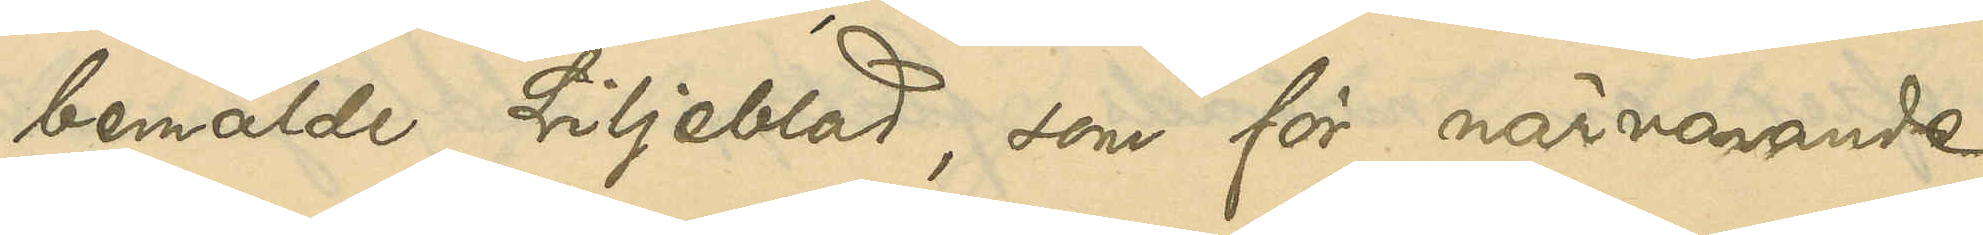bemälde Liljeblad, som för närvarande
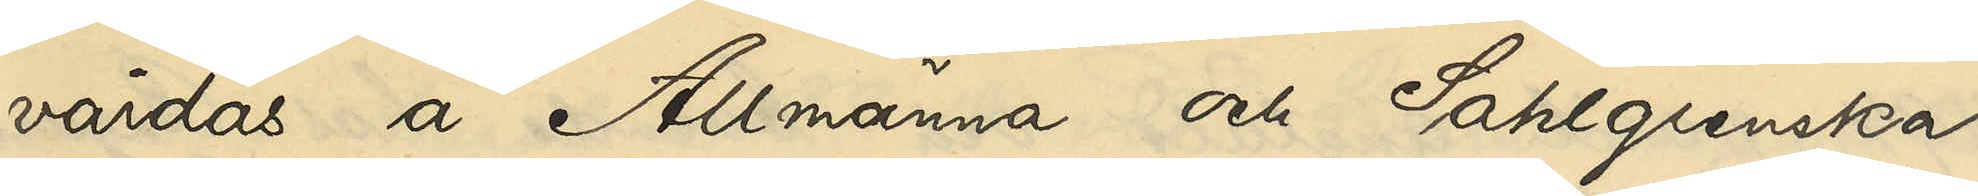vårdas å Allmänna och Sahlgrenska
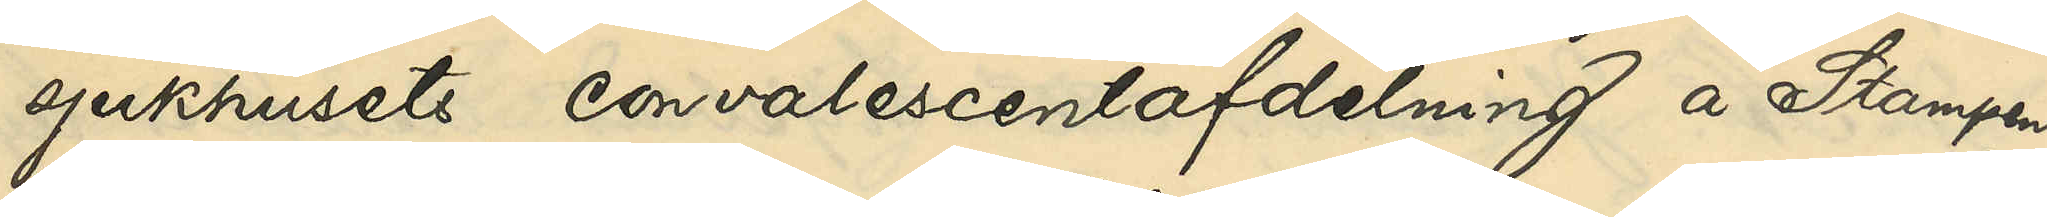sjukhusets convalescentafdelning å Stampen,
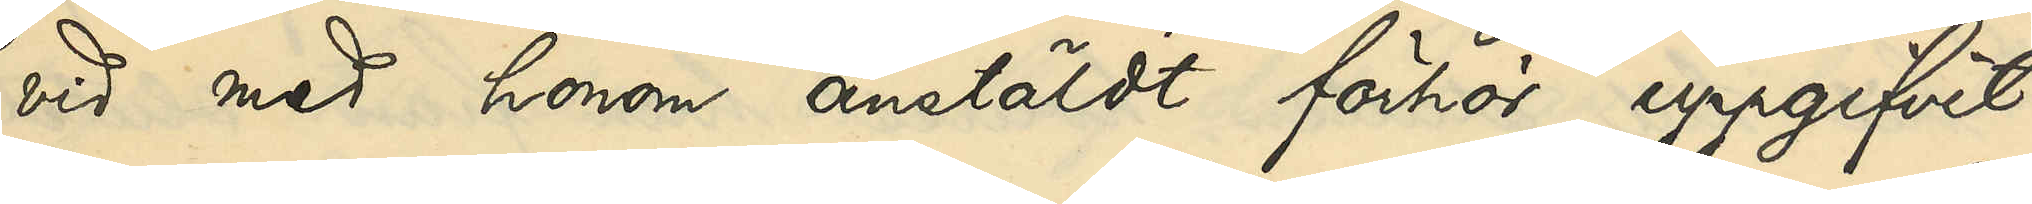vid med honom anstäldt förhör uppgifvit:
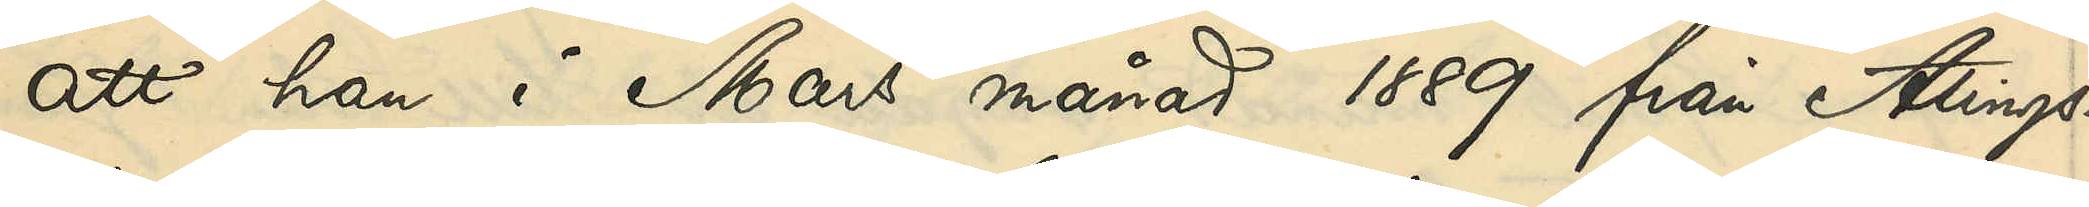att han i Mars månad 1889 från Alings¬
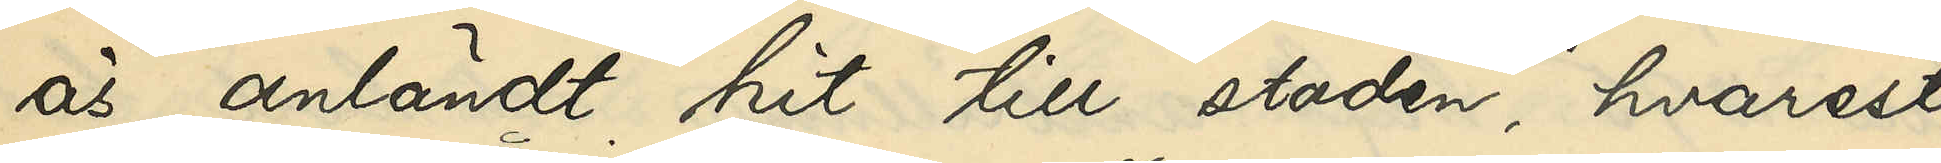ås anländt hit till staden, hvarest
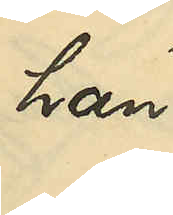han
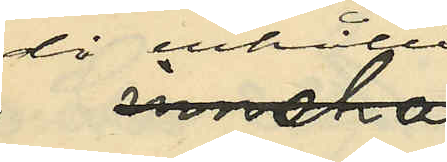då erhållit
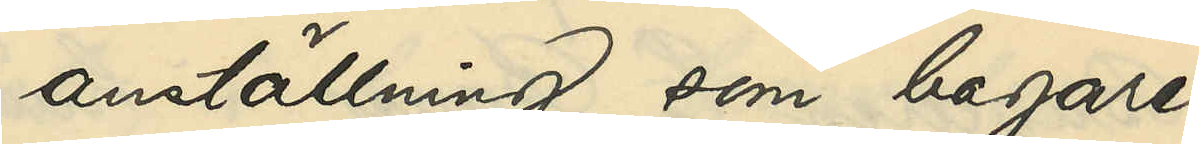anställning som bagare¬
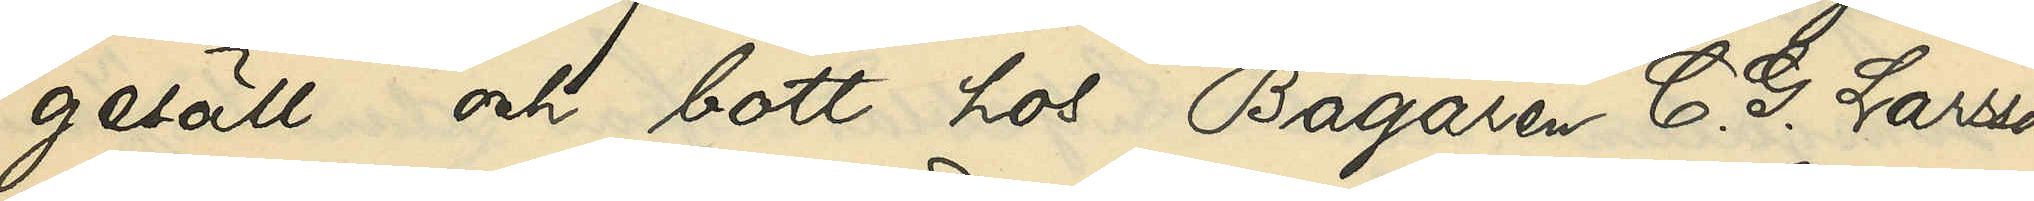gesäll och bott hos Bagaren C. G. Larsson
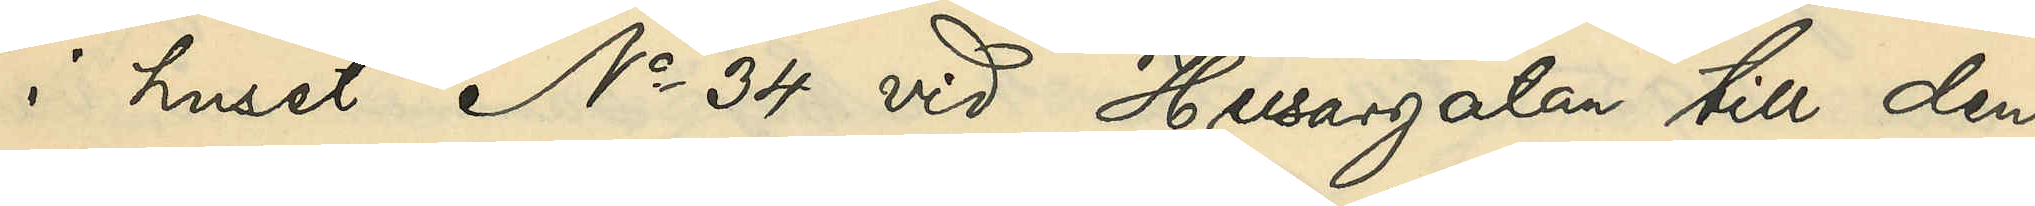i huset No 34 vid Husargatan till den
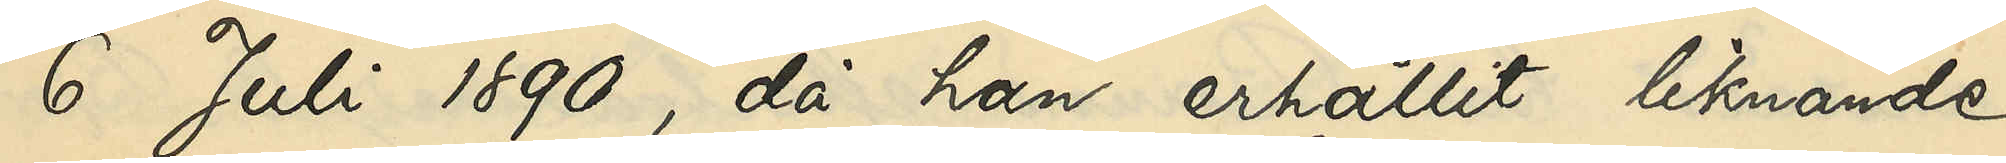6 Juli 1890, då han erhållit liknande
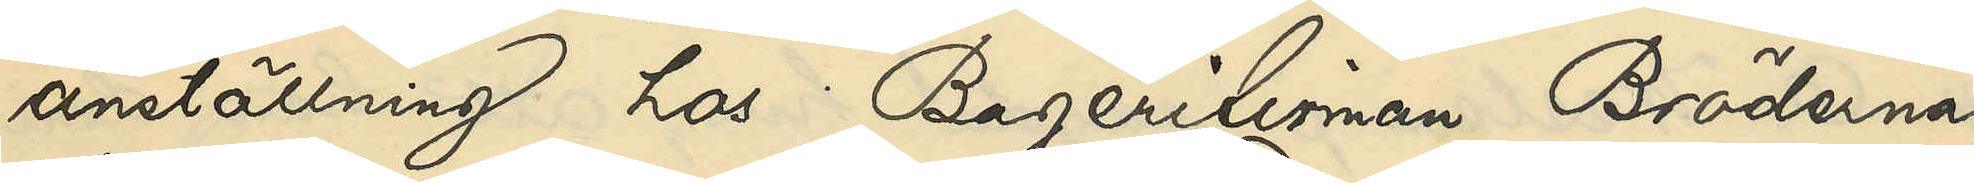anställning hos Bagerifirman Bröderna
